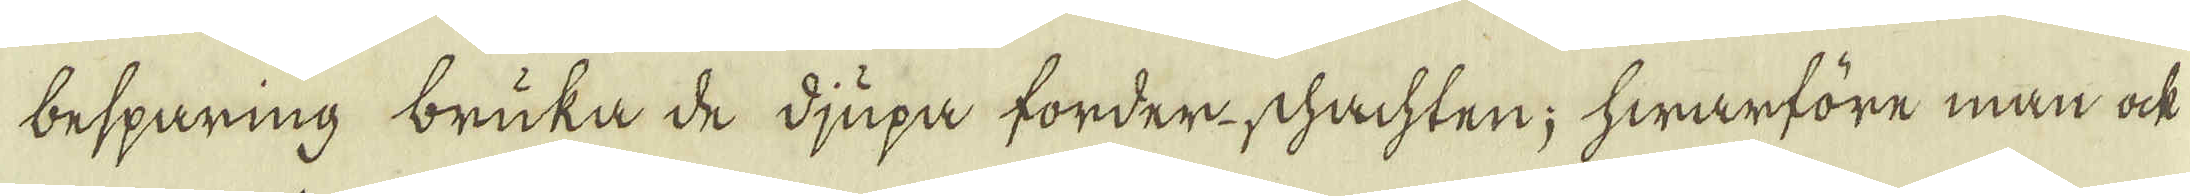besparing bruka de djupa forder-schachten; hwarföre man ock
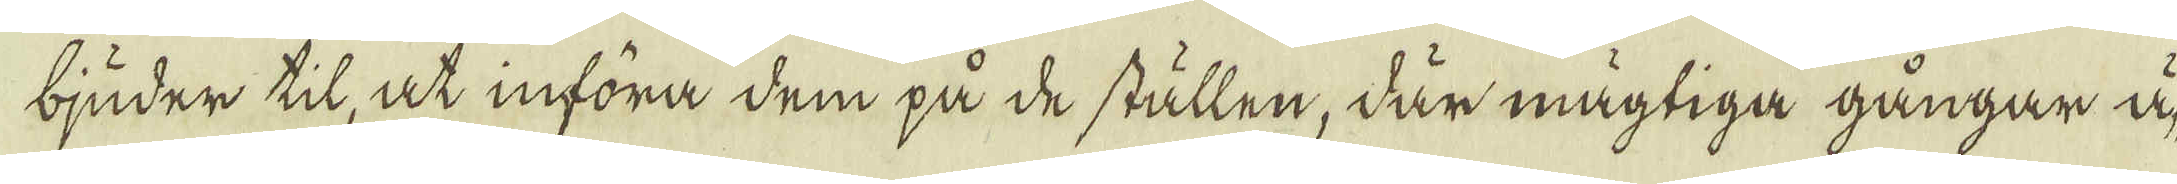bjuder til, at införa dem på de ställen, där mägtiga gångar ä-
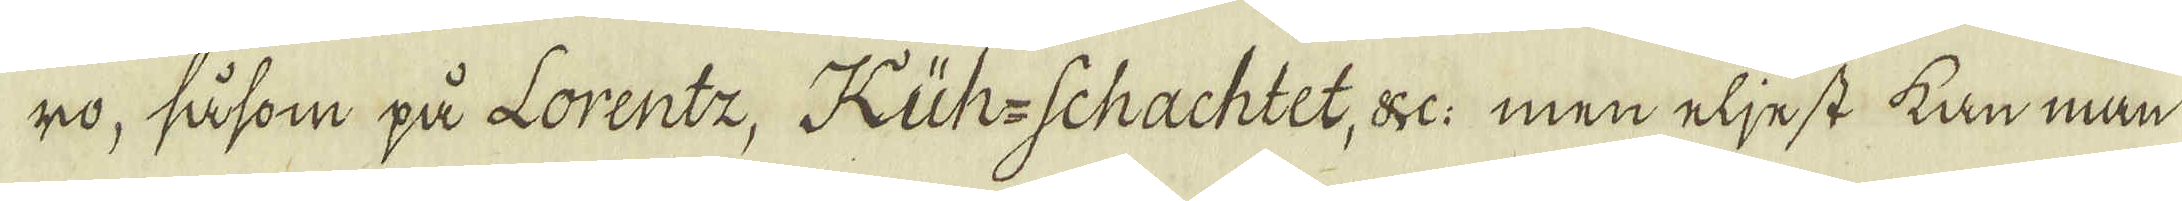ro, såsom på Lorentz, Küh-Schachtet, &c: men eljest kan man
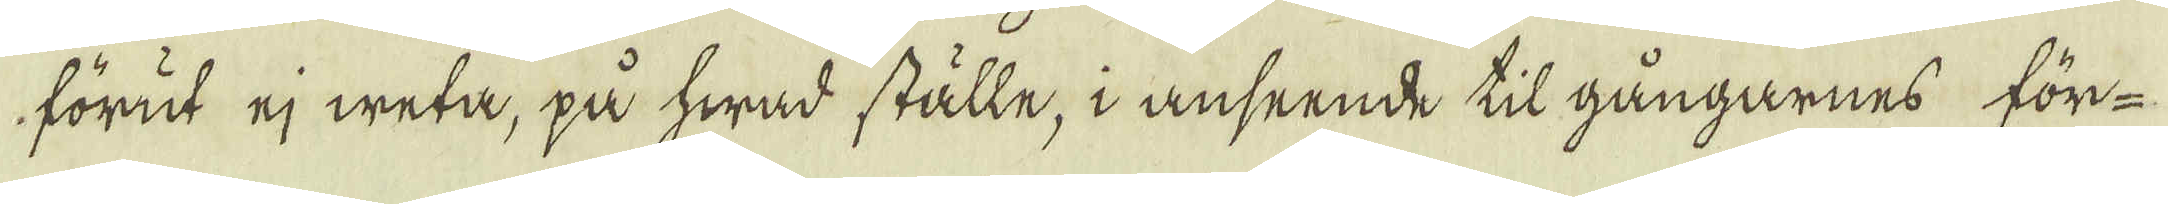förut ej weta, på hwad ställe, i anseende til gångarnes för-
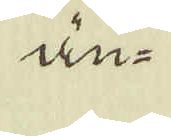än-
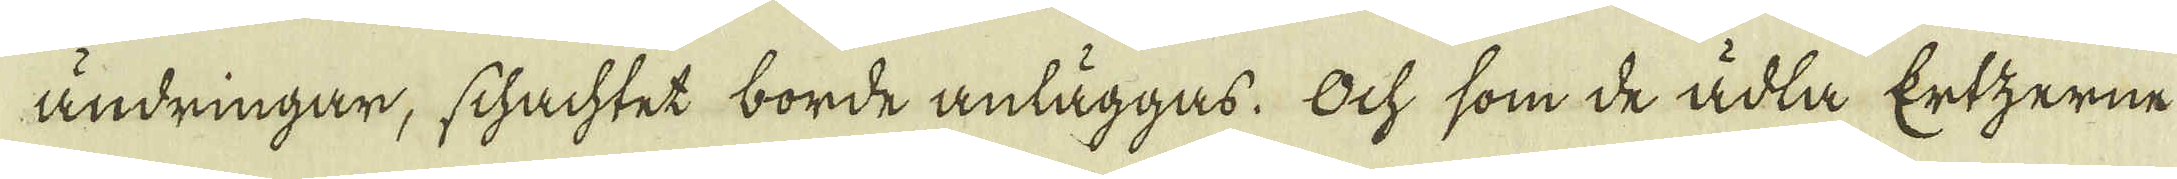ändringar, schachtet borde anläggas. Ock som de ädla Ertzerne
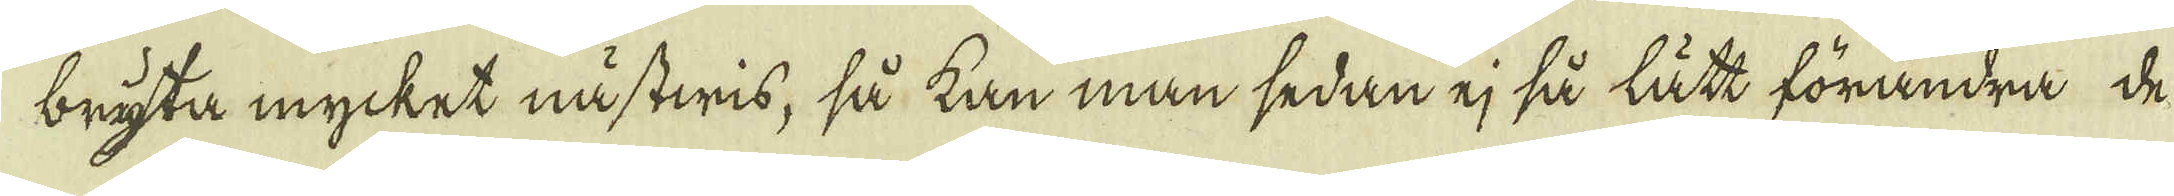bryta mycket nästwis, så kan man sedan ej så lätt förändra de
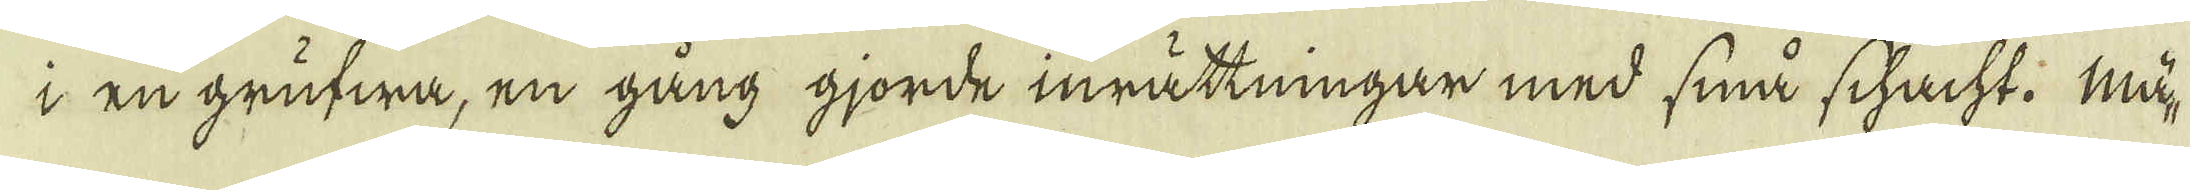i en grufwa, en gång gjorde inrättningar med små schacht. Mä-
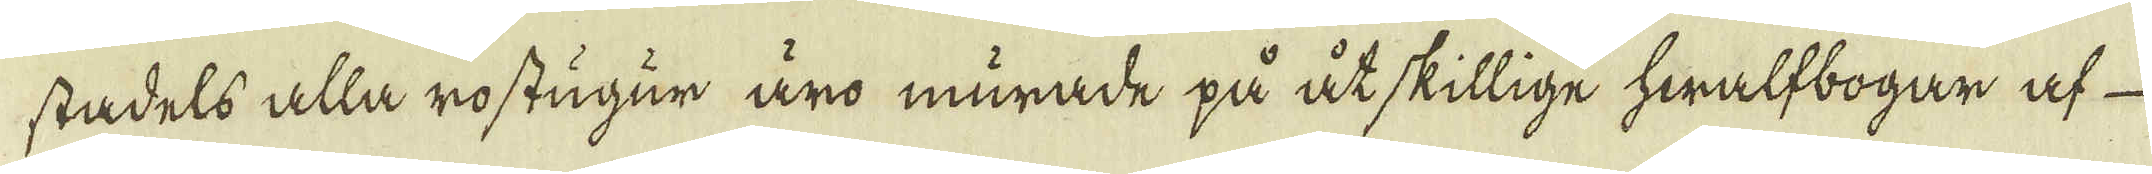stadels alla rostugur äro murade på åtskillige hwalfbogar af
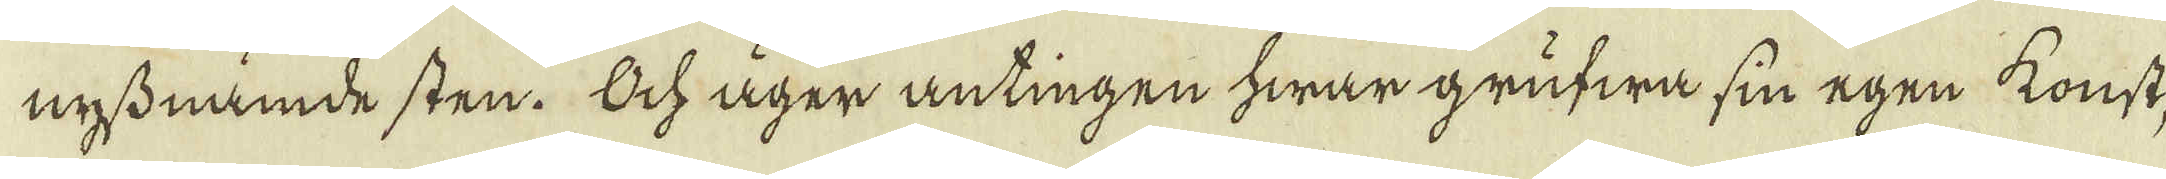nyssnämde sten. Och äger antingen hwar grufwa sin egen konst,
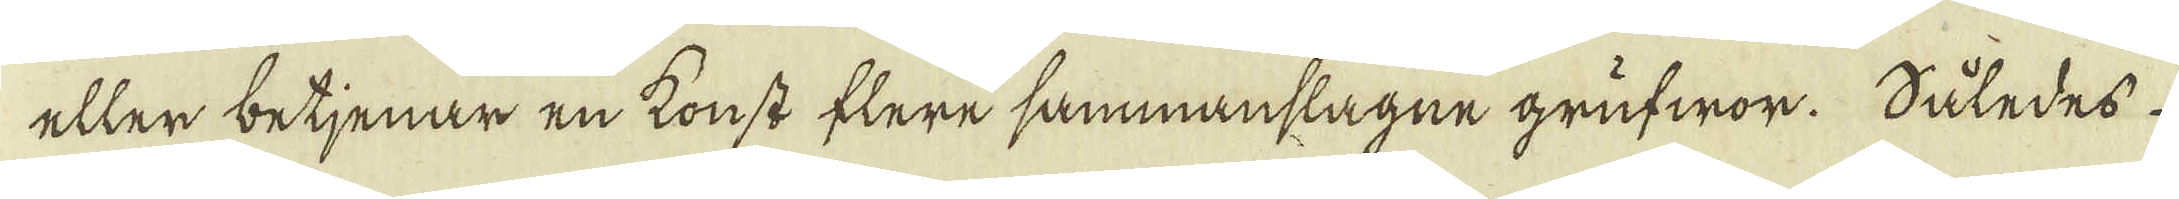eller betjenar en konst flere sammanslagne grufwor. Således
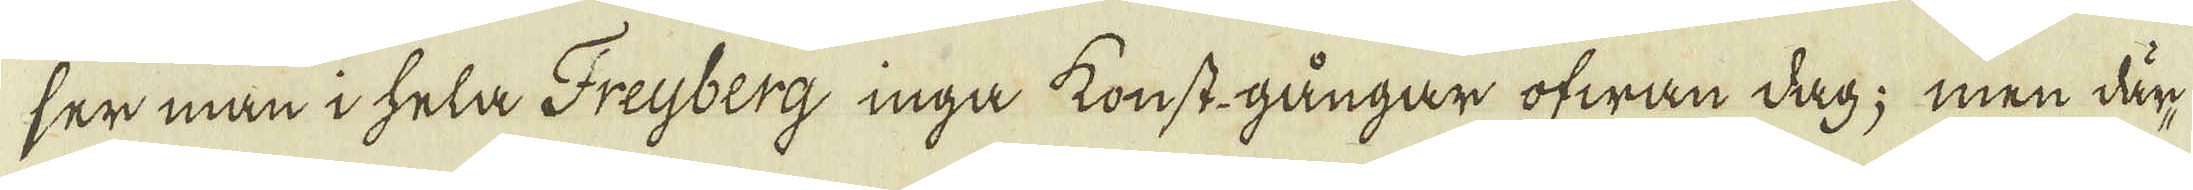ser man i hela Freyberg inga konst gångar ofwan dag; men där-
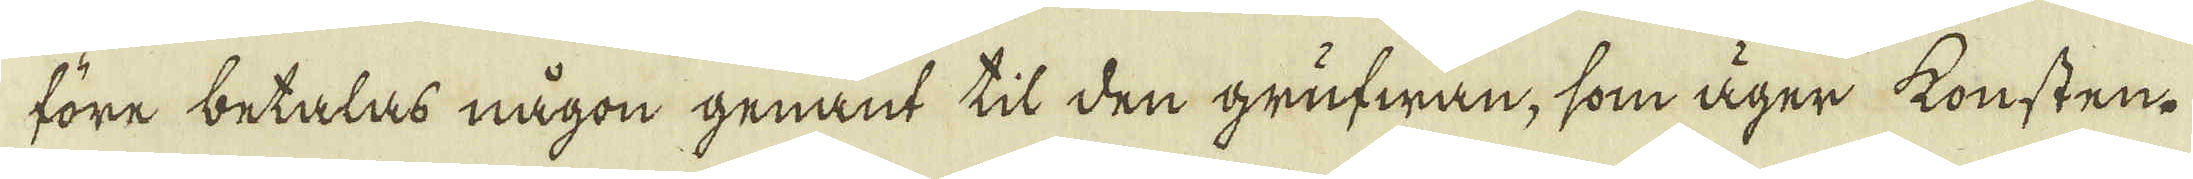före betalas någon genant til den grufwan, som äger konsten.
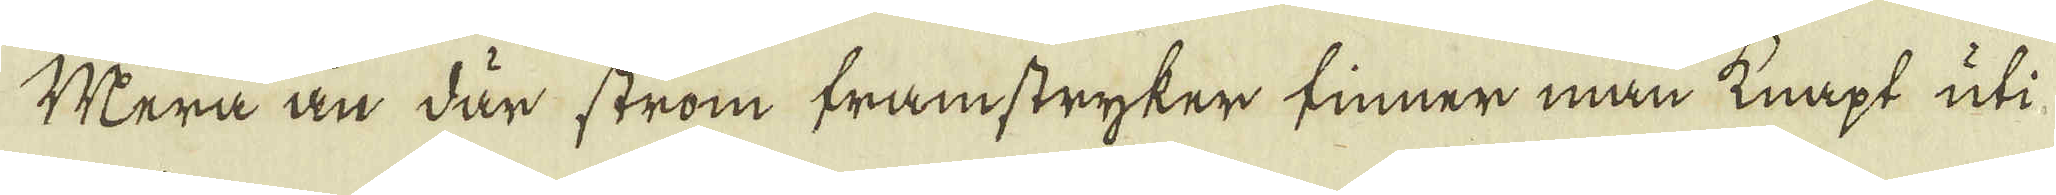Mera än där ström framstryker finner man knapt uti
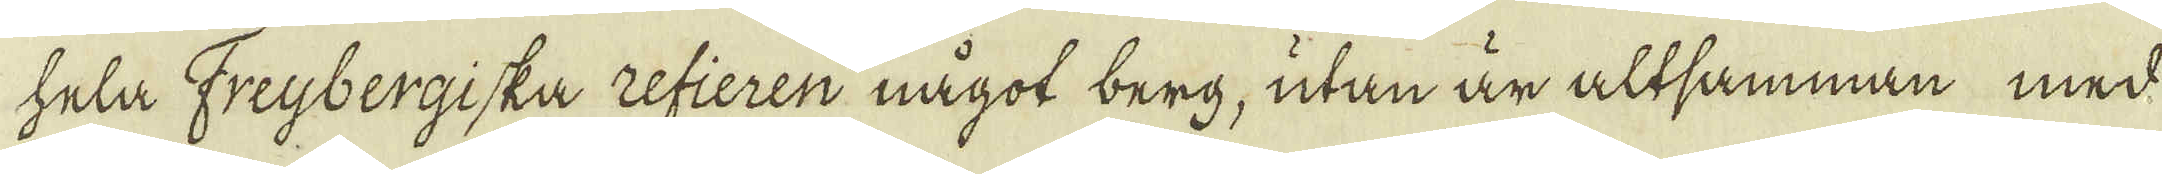hela Freybergiska refieren något berg, utan är altsamman med
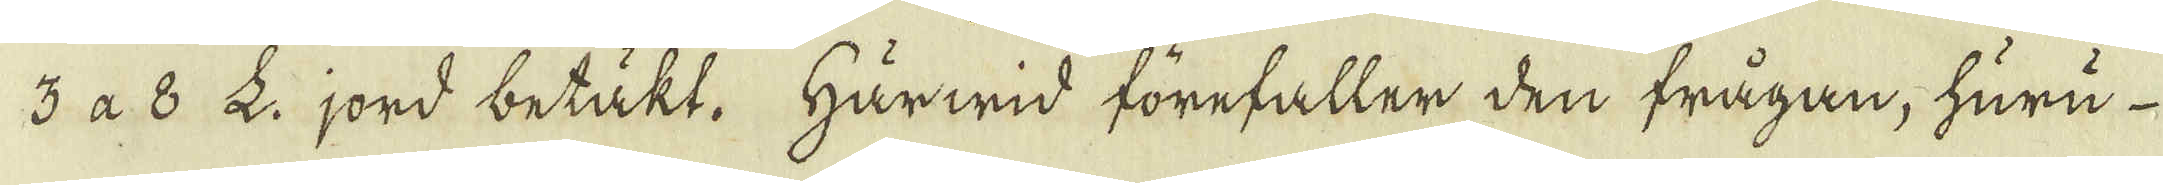3 à. 8. L: jord betäkt. Härwid förefaller den frågan, huru
